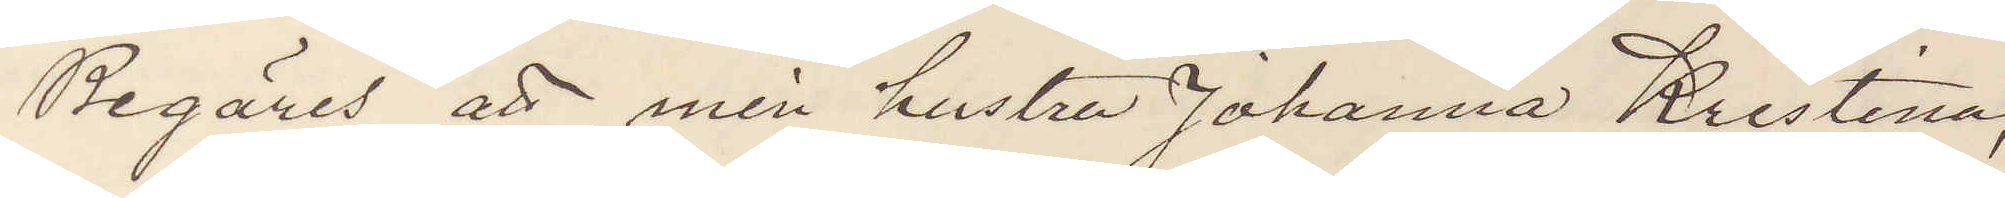Begäres att min hustru Johanna Kristina,
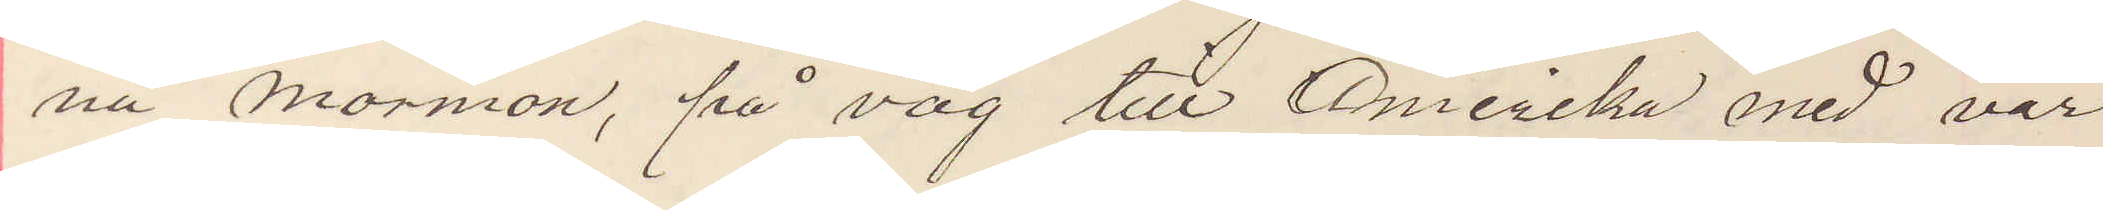nu Mormon, på väg till Amerika med vår
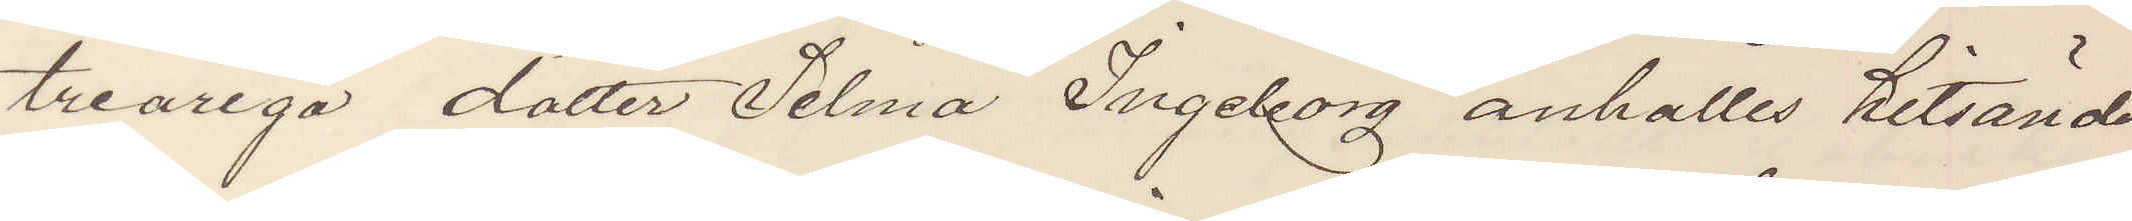treåriga dotter Selma Ingeborg anhålles hitsändes
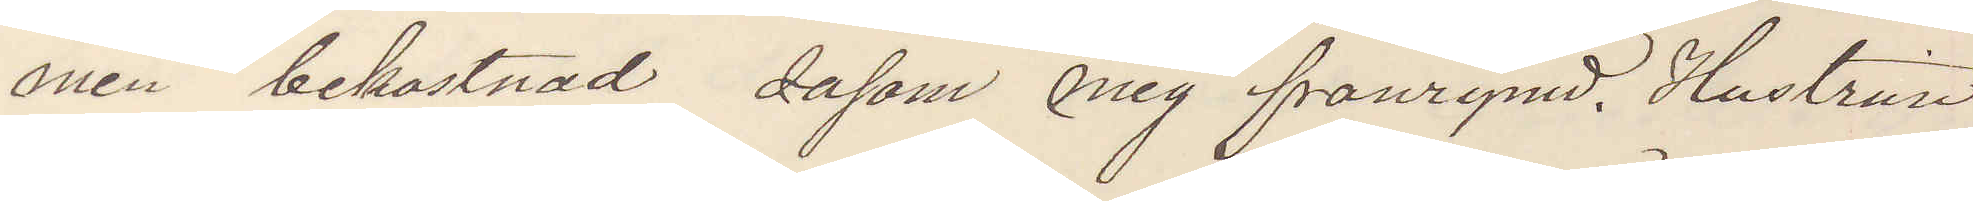min bekostnad såsom mig frånrymd. Hustrun
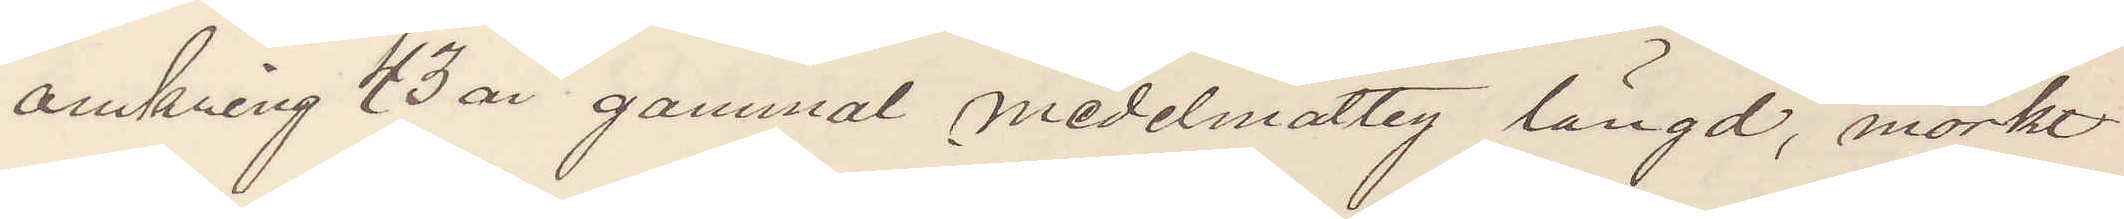omkring 43 år gammal medelmåttig längd, mörkt
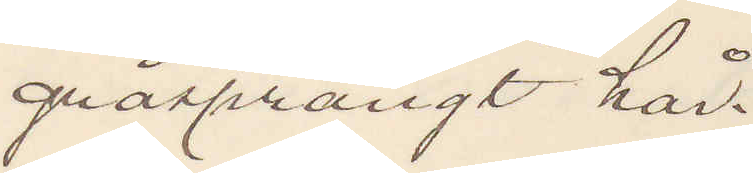gråsprängt hår.
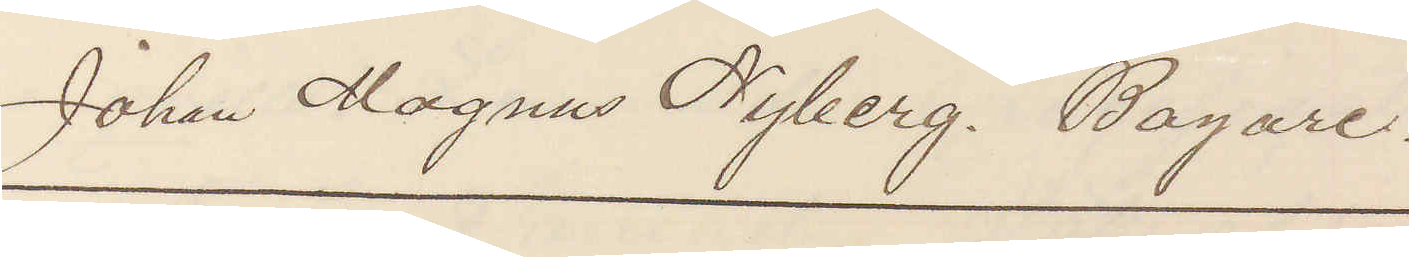Johan Magnus Nyberg. Bagare.
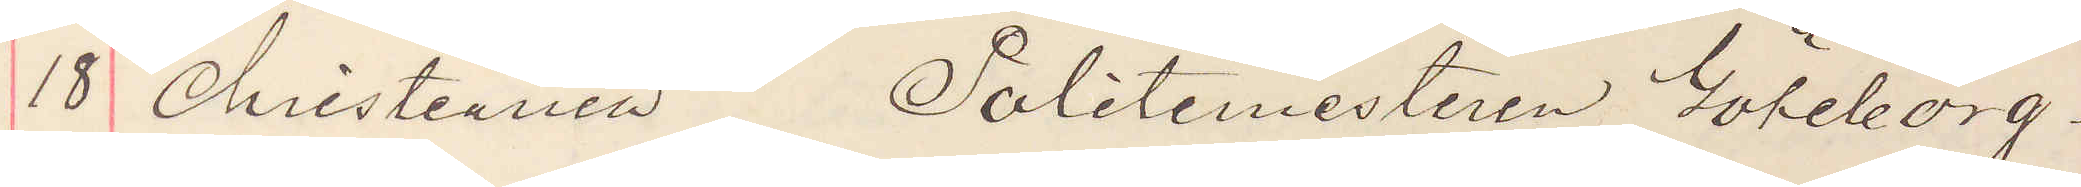18 Christiania Politimesteren Göteborg.
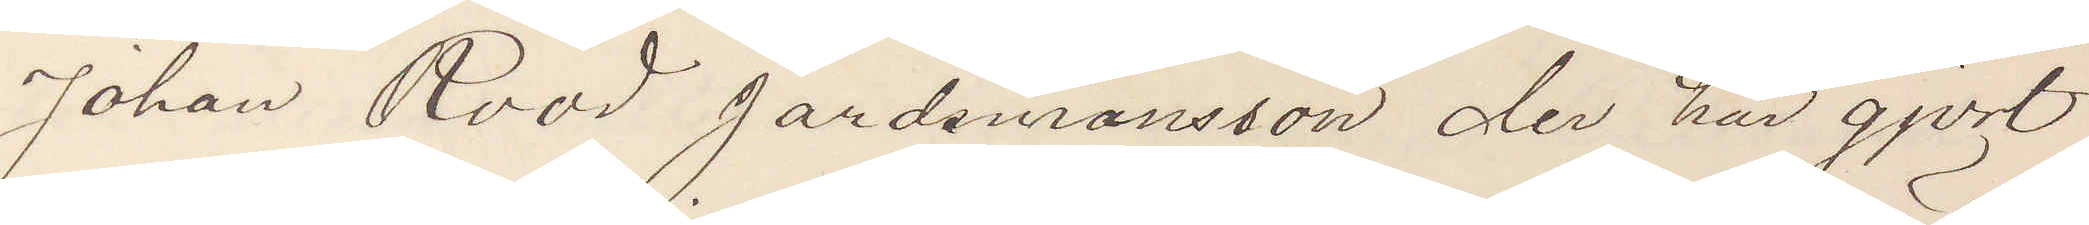Johan Rööd gårdsmanssön der har gjort
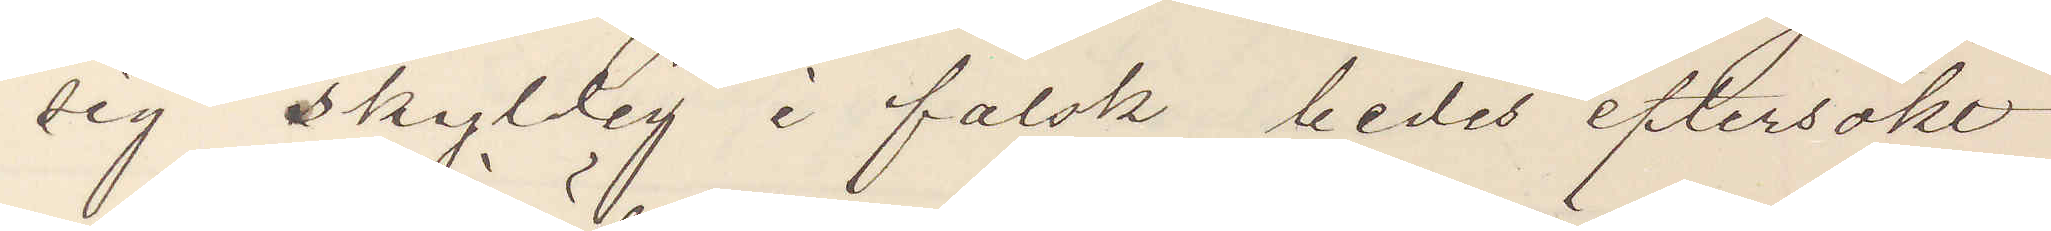sig skyldig i falsk bedes eftersökt
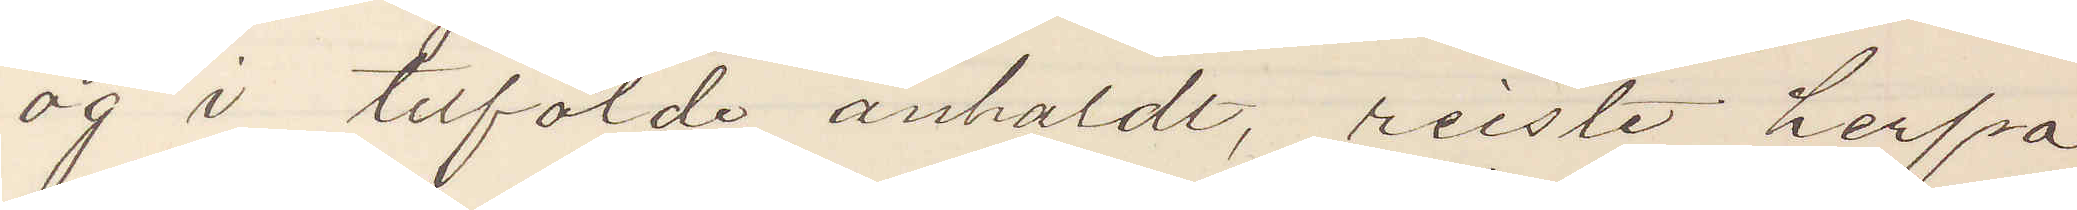og i tilfälde anholdt, reiste herfra
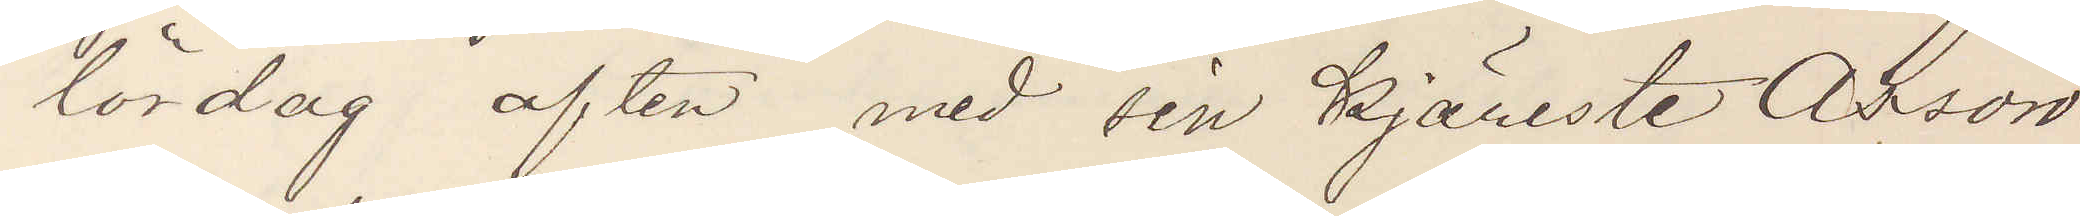lördag aften med sin Kjäreste Asson
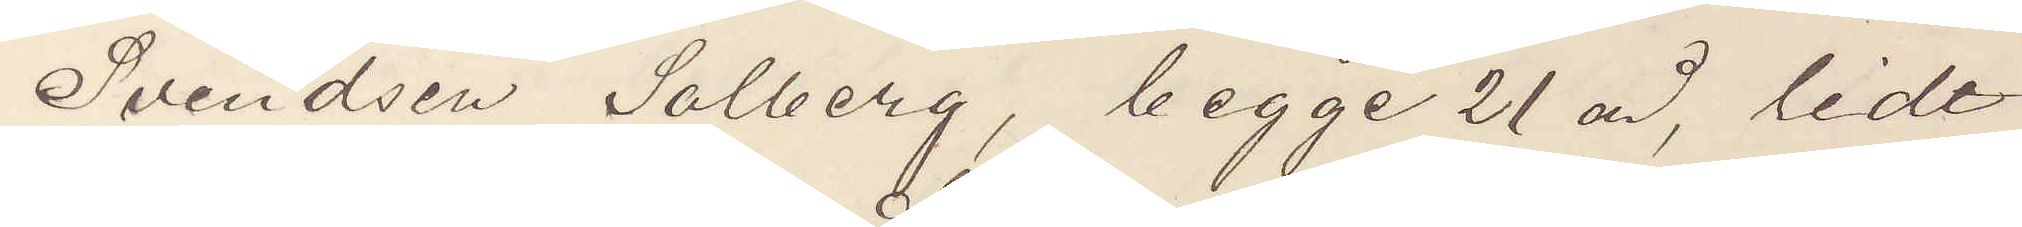Svendsen Solberg, begge 21 år, lidt
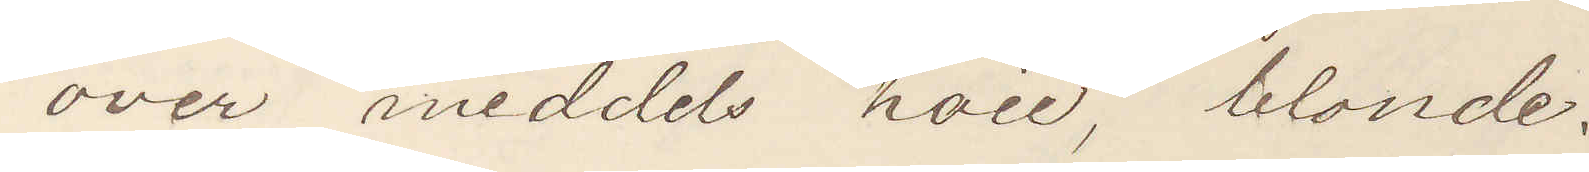over meddels höie, blonde.
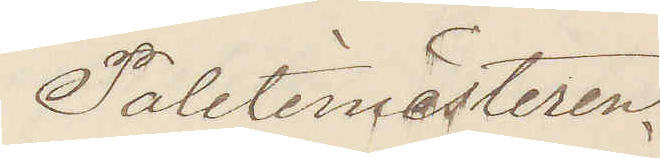Politimesteren.
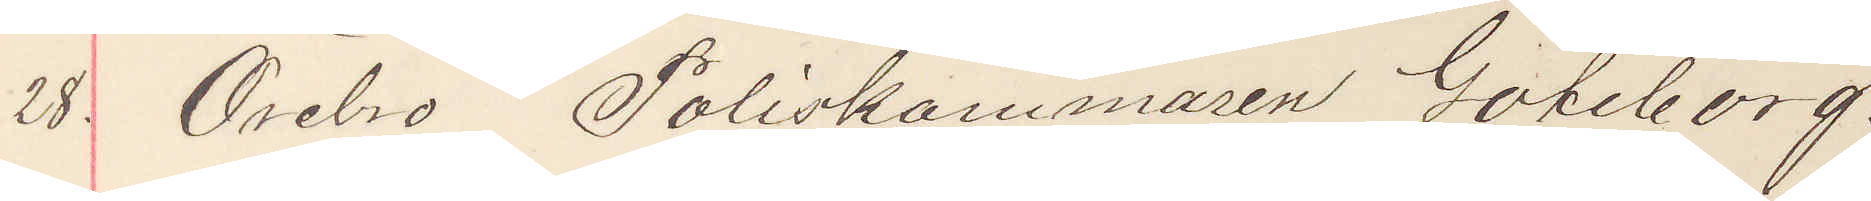28. Örebro Poliskammaren Göteborg.
